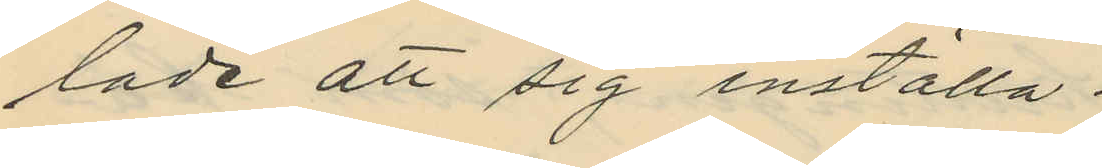lade att sig inställa.
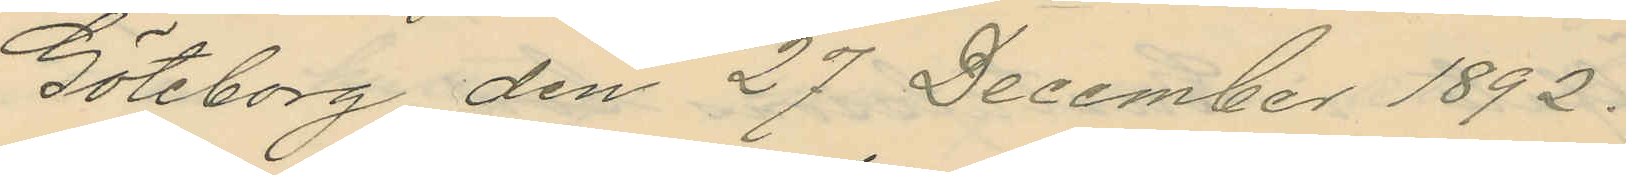Göteborg den 27 December 1892.
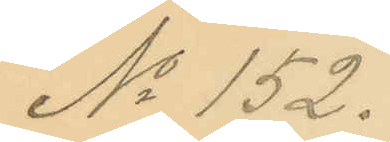No 152.
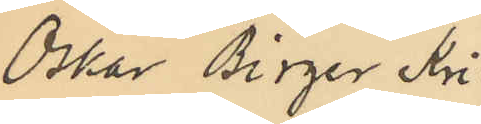Oskar Birger Kri¬
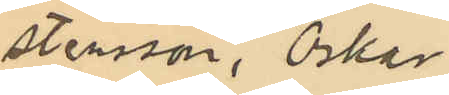stensson, Oskar
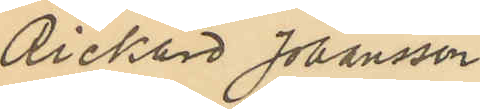Rickard Johansson
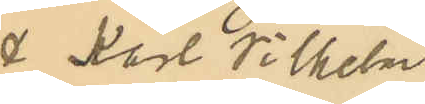& Karl Vilhelm
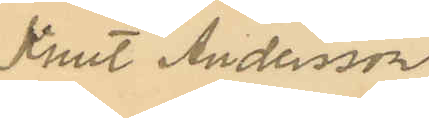Knut Andersson
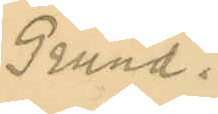Grund.
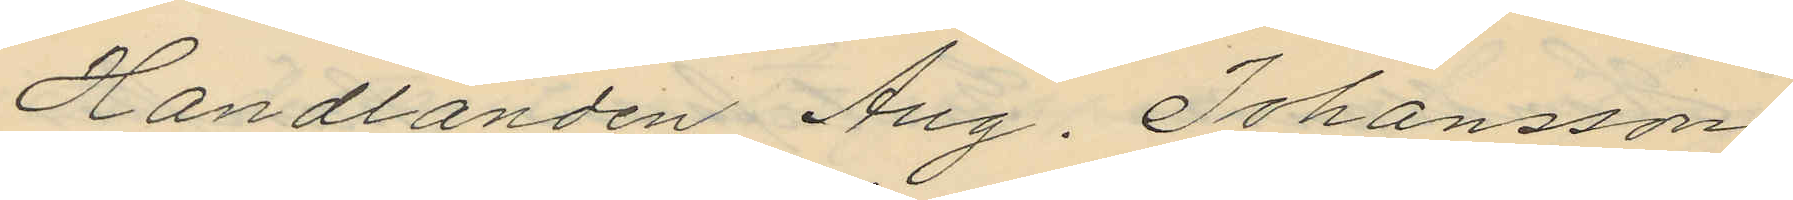Handlanden Aug. Johansson
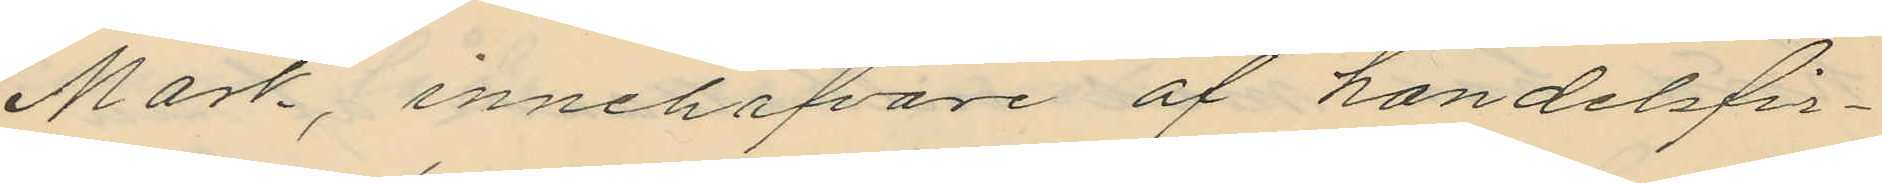Mark, innehafvare af handelsfir¬
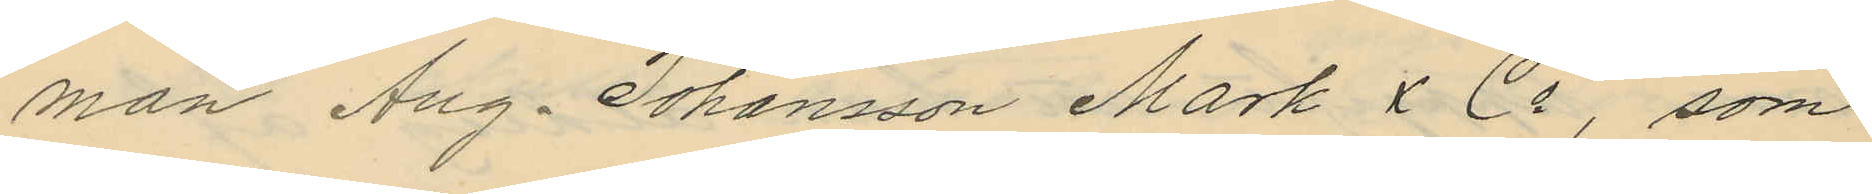man Aug. Johansson Mark & Co, som
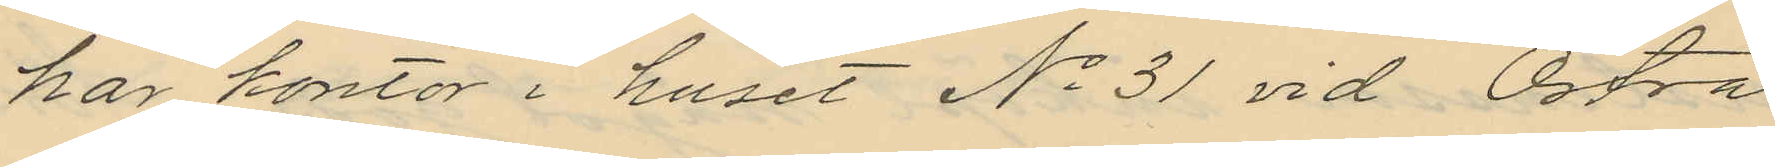har kontor i huset No 31 vid Östra
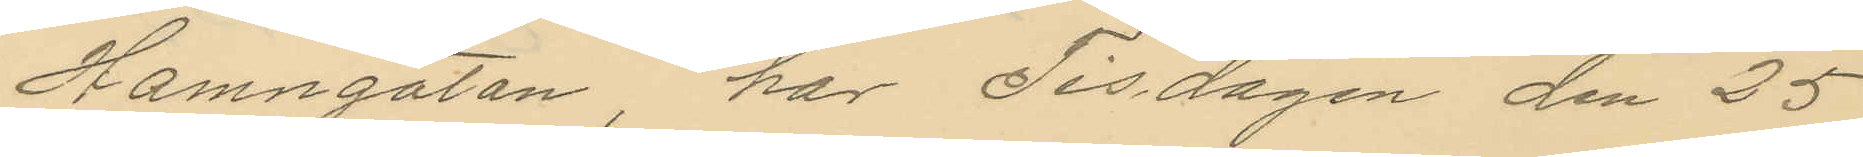Hamngatan har Tisdagen den 25
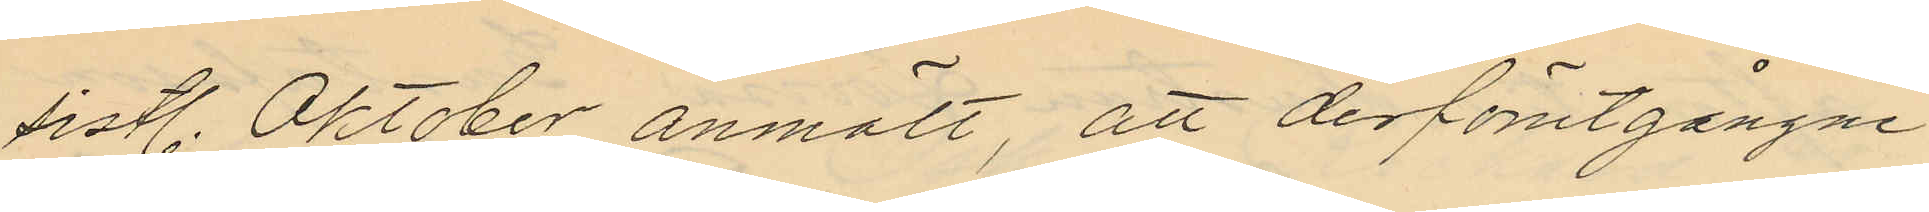sistl. Oktober anmält, att derförutgångne
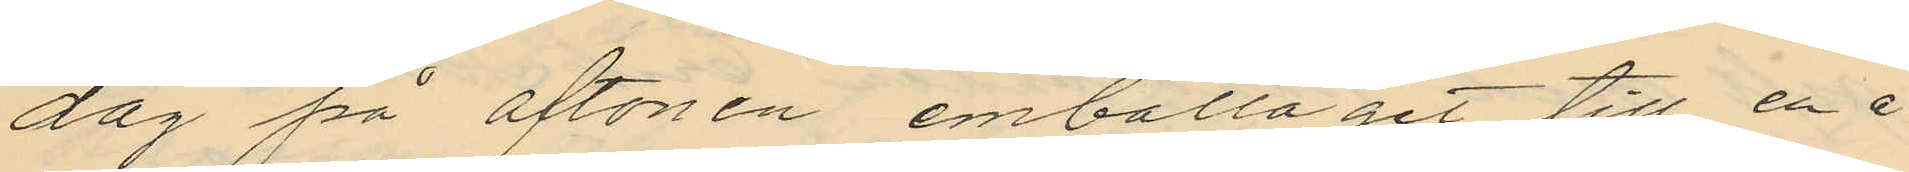dag på aftonen emballaget till en å
